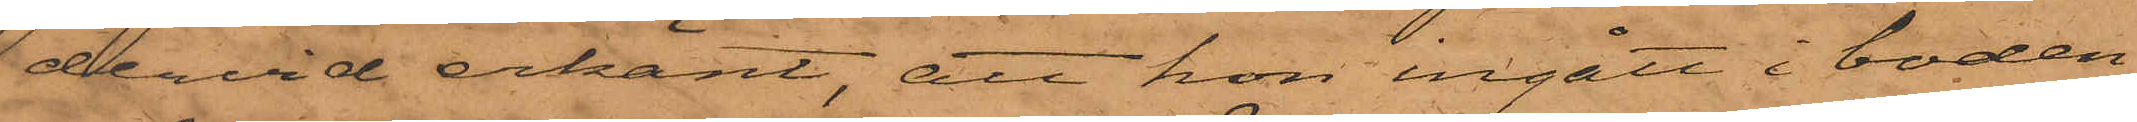dervid erkänt, att hon ingått i boden
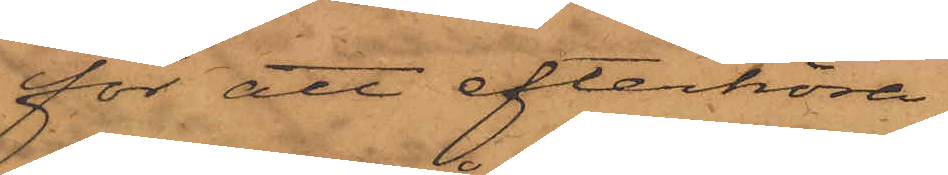för att efterhöra
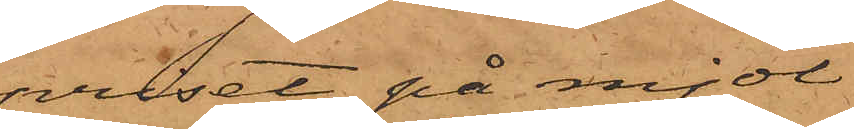priset på mjöl
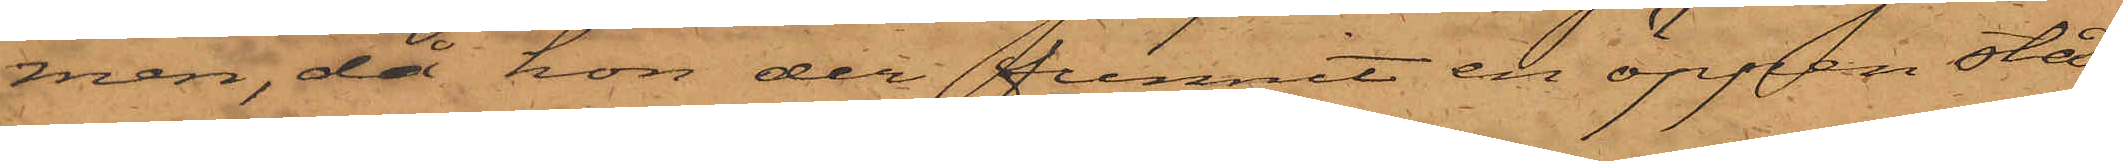men, då hon der funnit en öppen stå¬
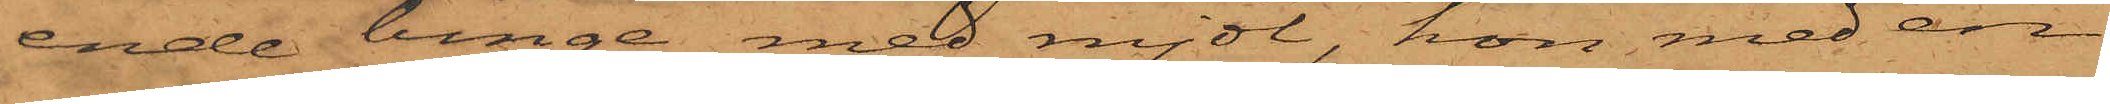ende binge med mjöl, hon med en
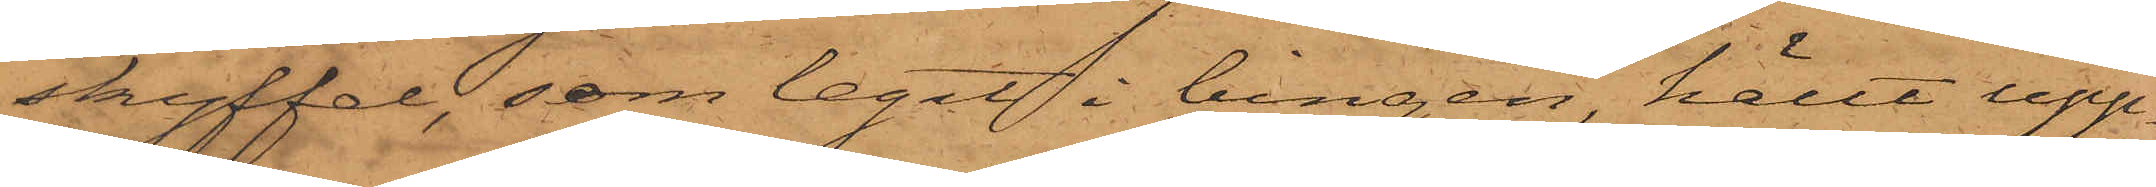skyffel, som legat i bingen, hällt upp¬
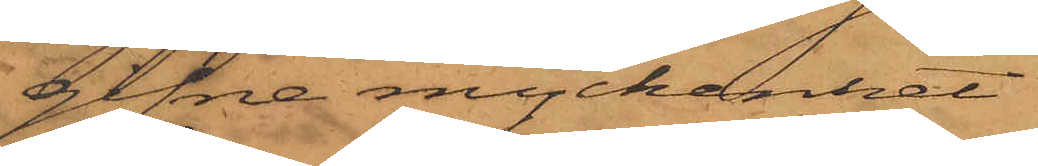gifne myckenhet
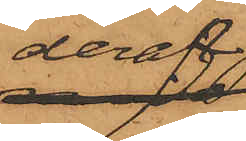deraf
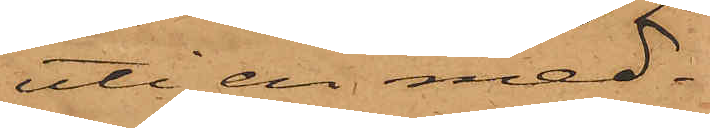uti en med¬
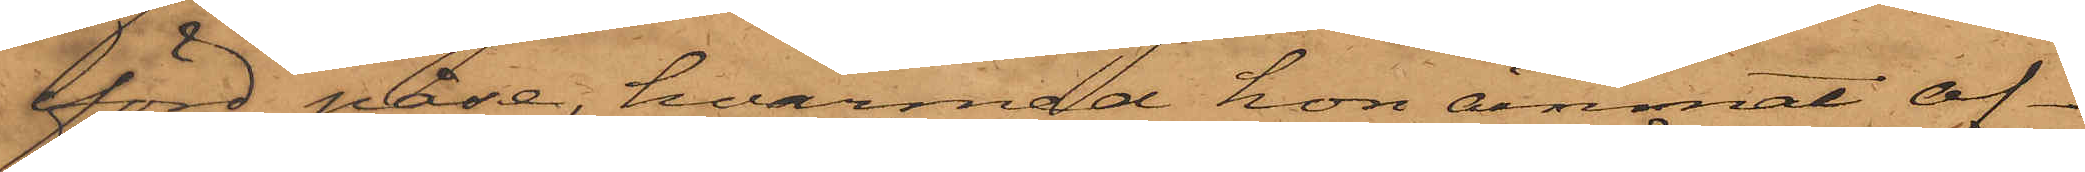förd påse, hvarmed hon ämnat af¬
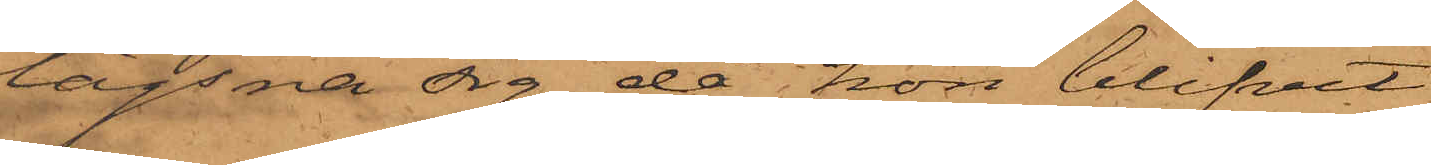lägsna sig, då hon blifvit
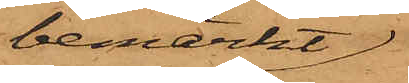bemärkt
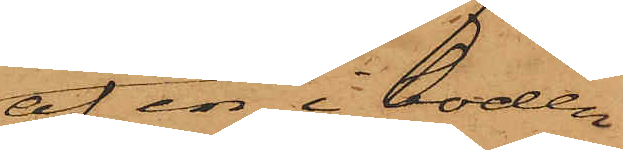af en i boden
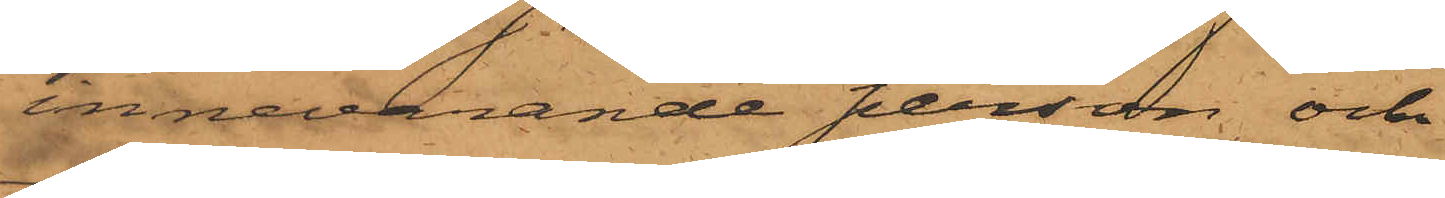innevarande person och
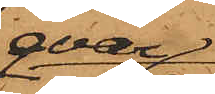qvar¬
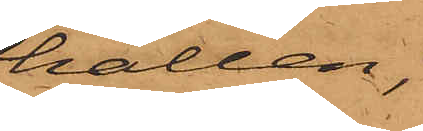hållen,
